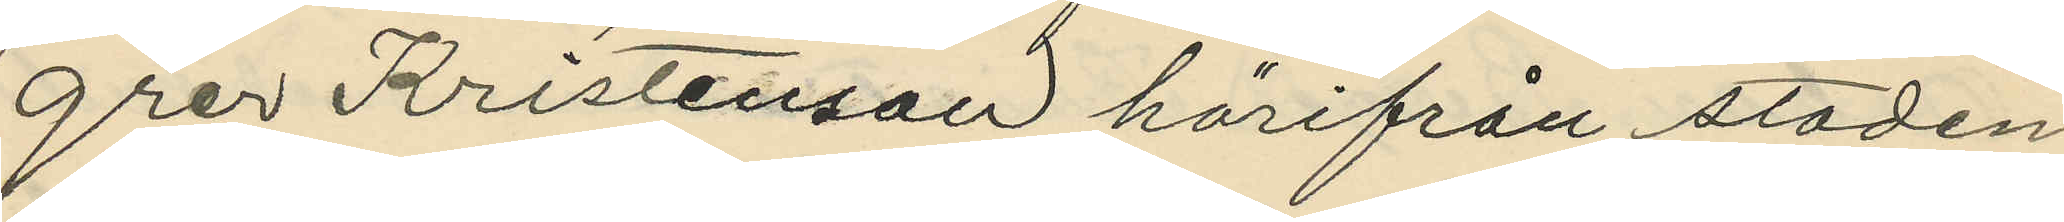grer Kristenson härifrån staden,
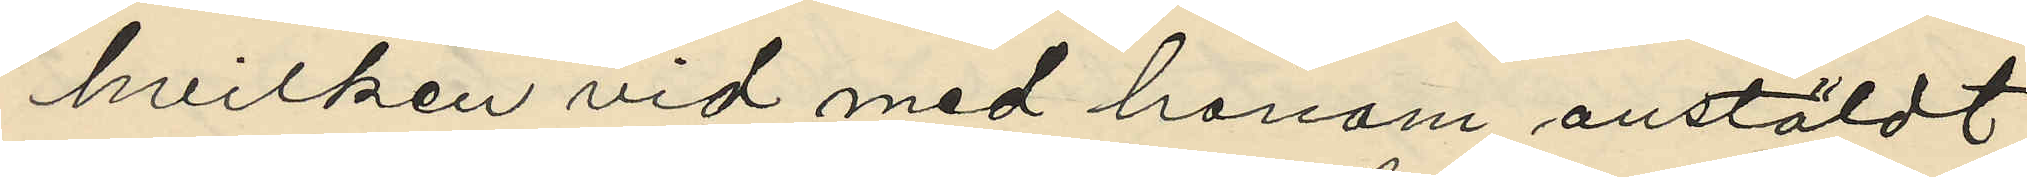hvilken vid med honom anstäldt
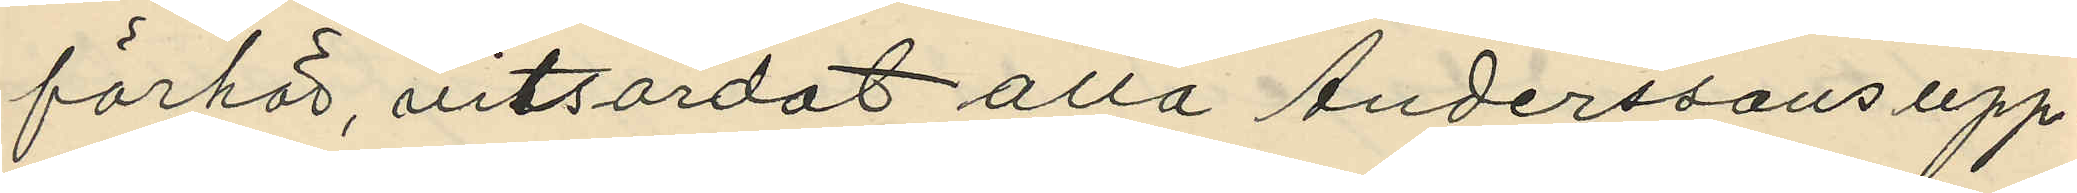förhör, vitsordat alla Anderssons upp¬
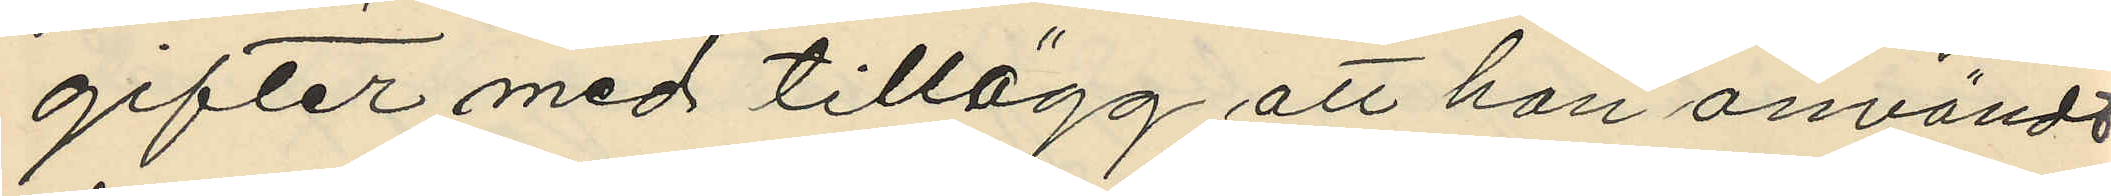gifter med tillägg att han användt
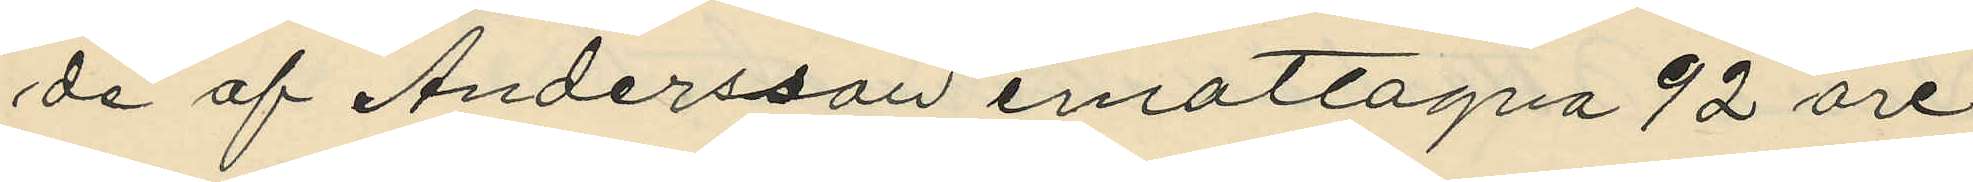de af Andersson emottagna 92 ore
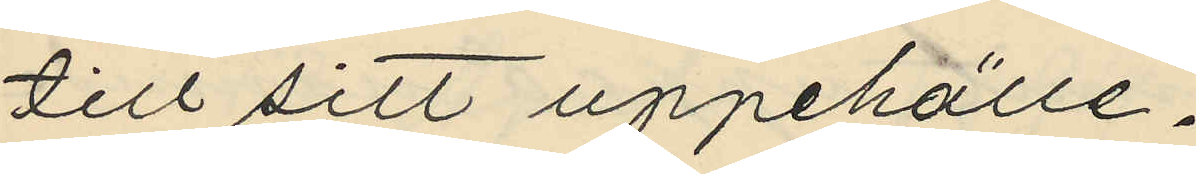till sitt uppehälle.
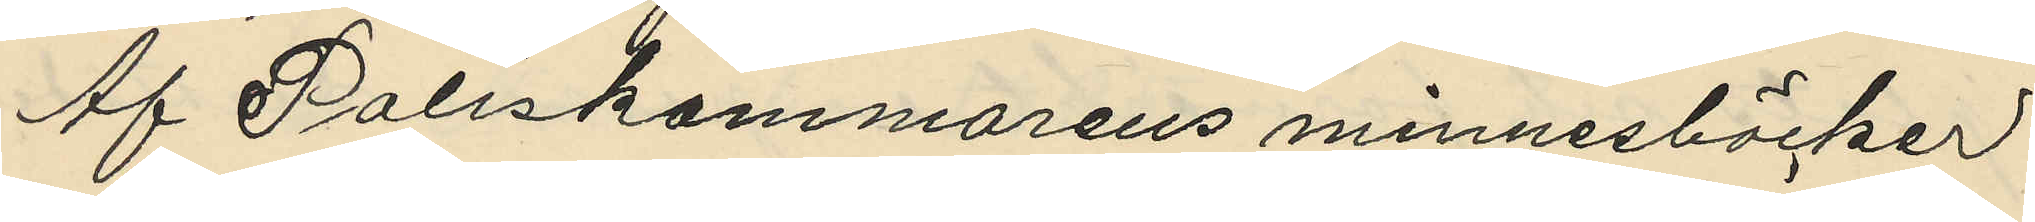Af Poliskammarens minnesböcker
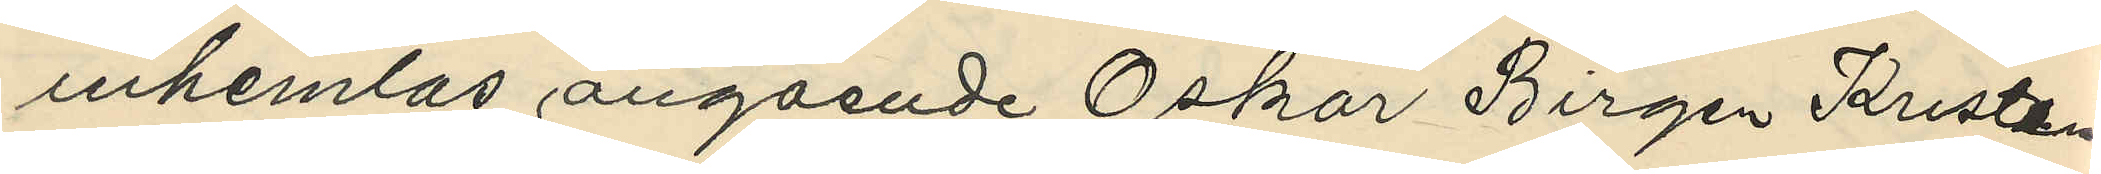inhemtas angående Oskar Birgen Kristen
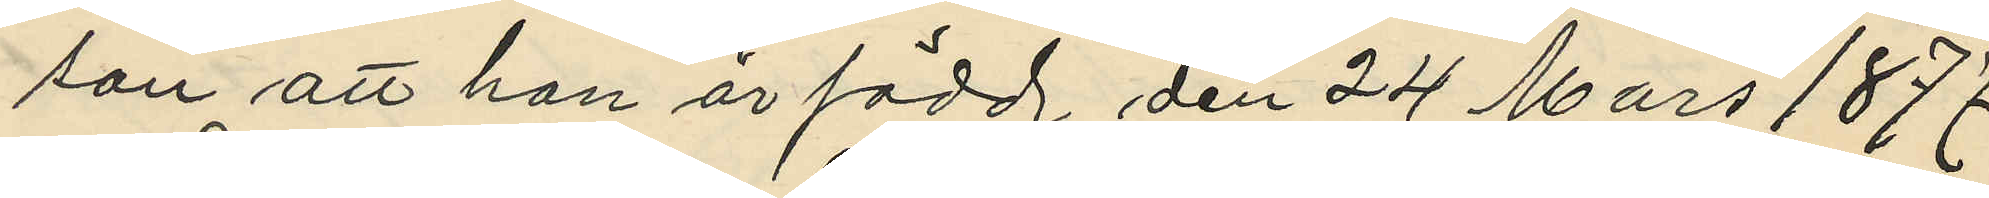son att han är född den 24 Mars 1877
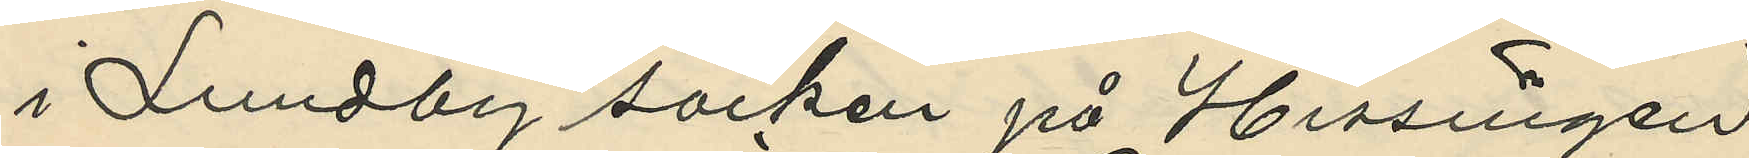i Lundby socken på Hissingen
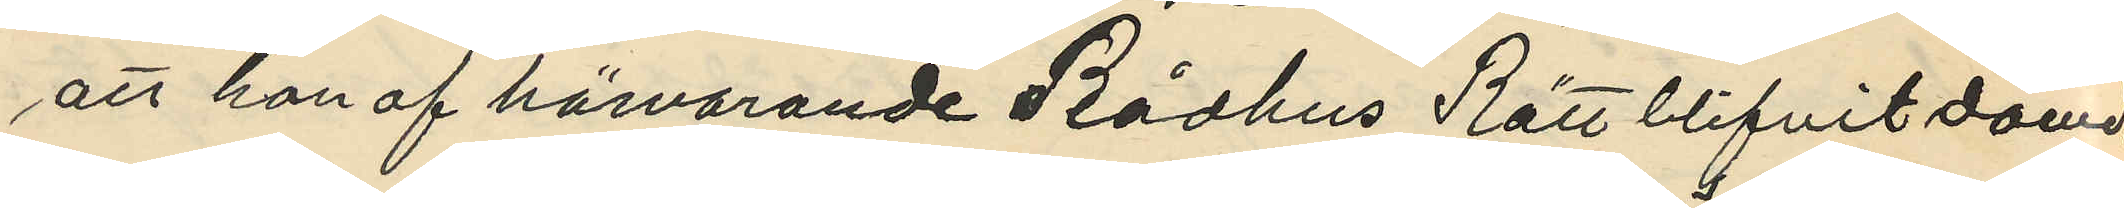att han af härvarande Rådhus Rätt blifvit dömd
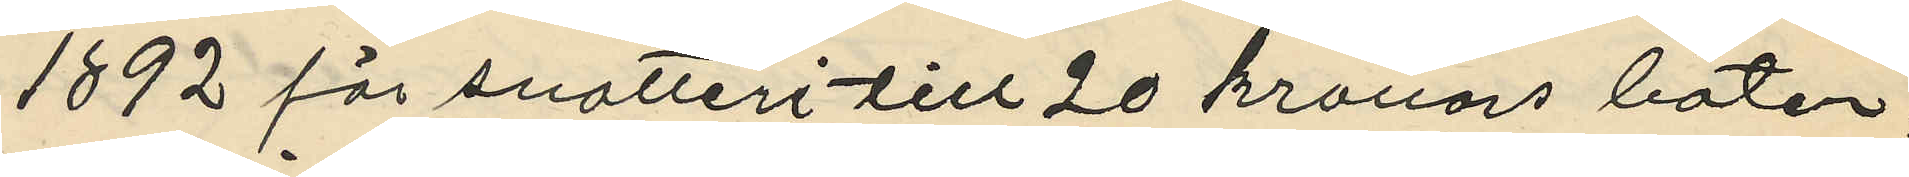1892 för snatteri till 20 kronors böter;
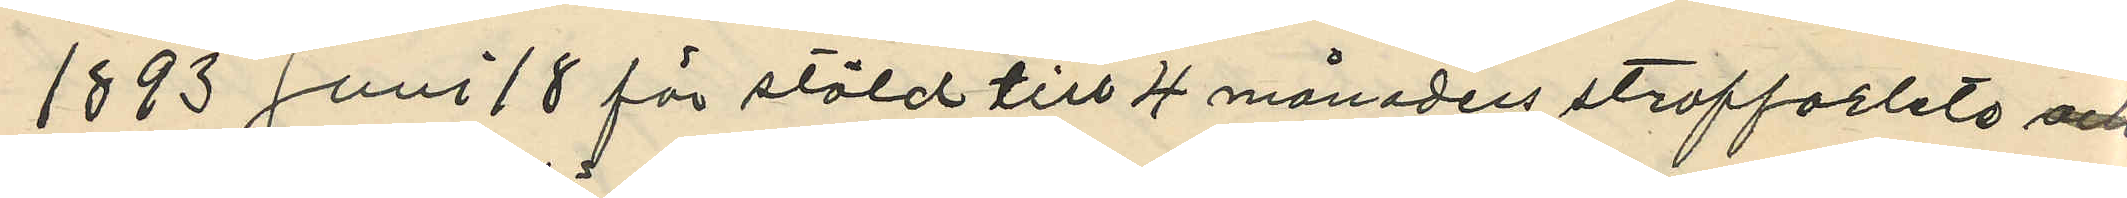1893 juni 18 för stöld till 4 månaders straffarbete och
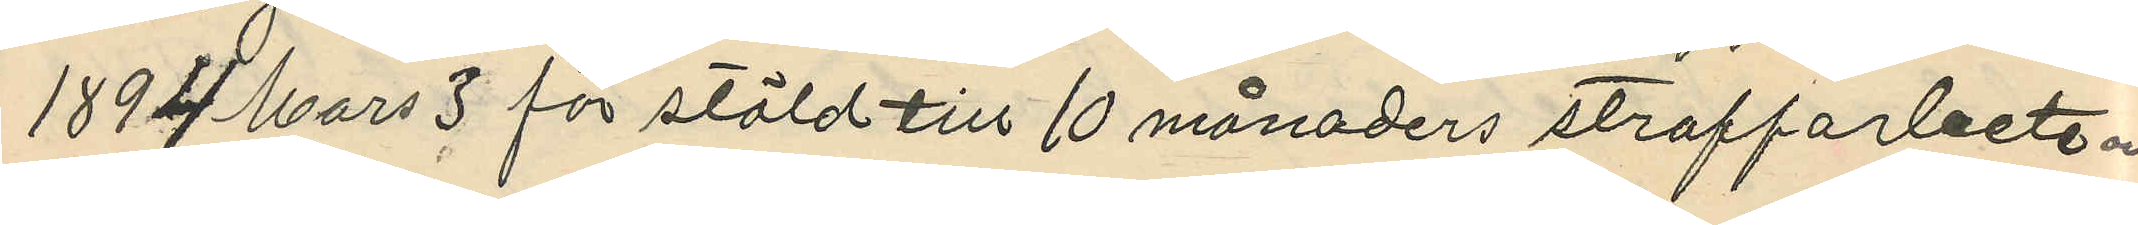1894 Mars 3 för stöld till 10 månaders straffarbete och
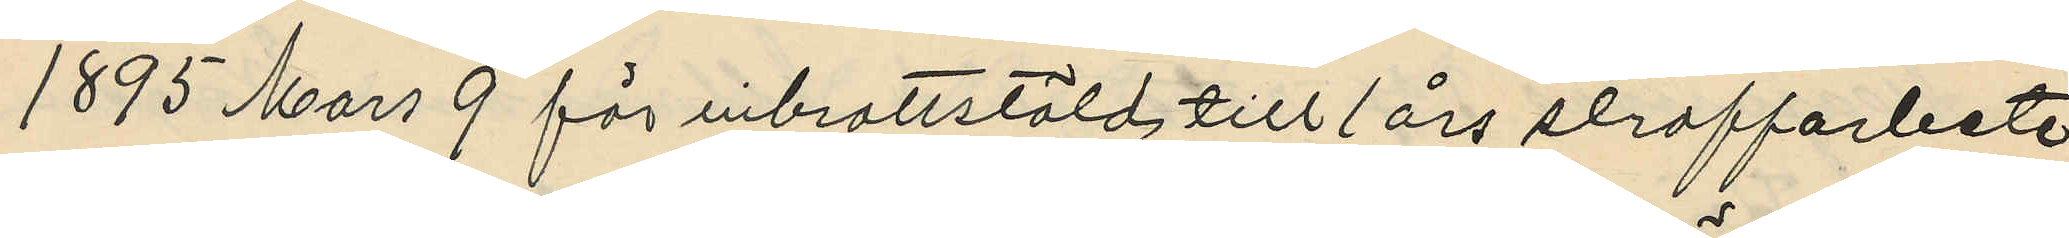1895 Mars 9 för inbrottstöld till 1 års straffarbete
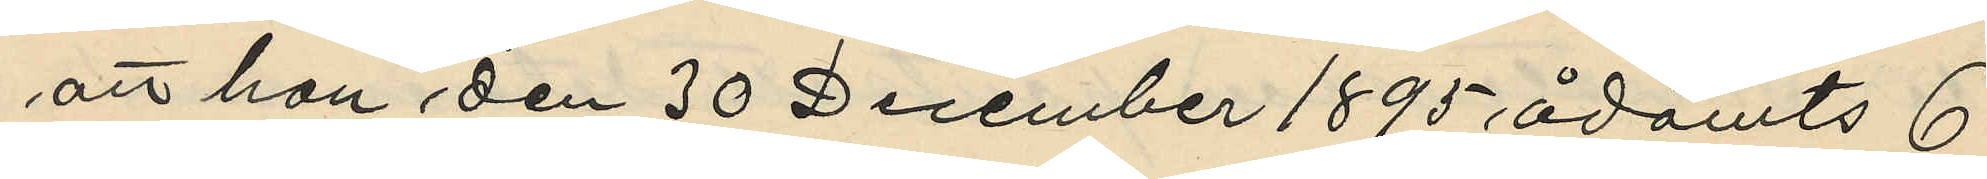att han den 30 December 1895 ådömts 6
